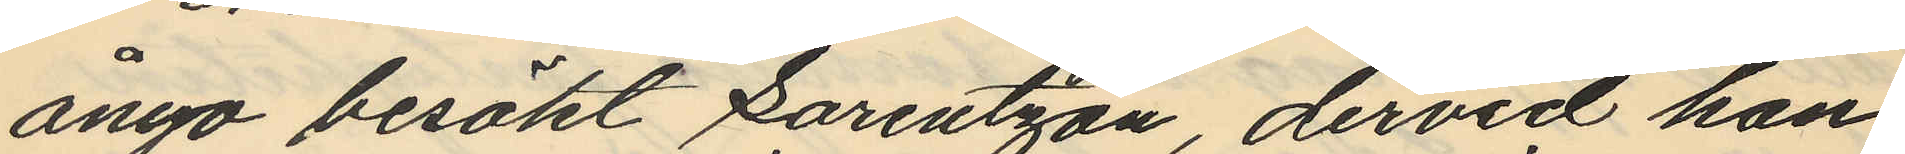ånyo besökt Lorentzon, dervid han
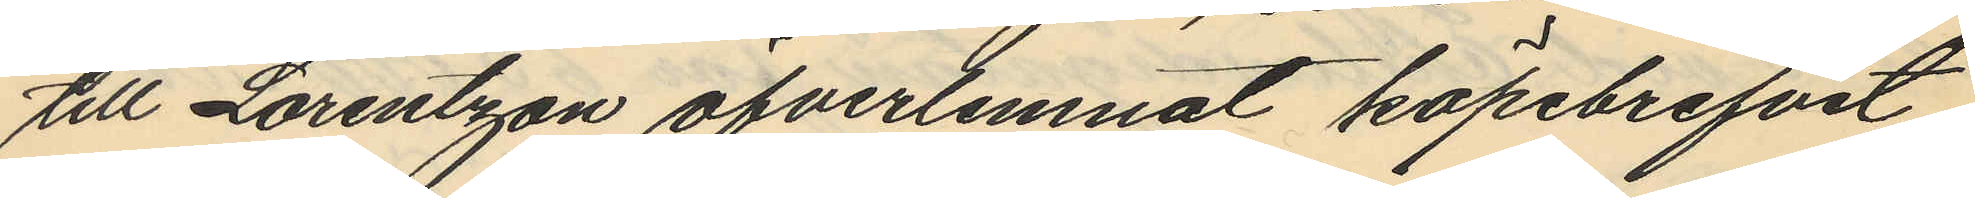till Lorentzon öfverlemnat köpebrefvet
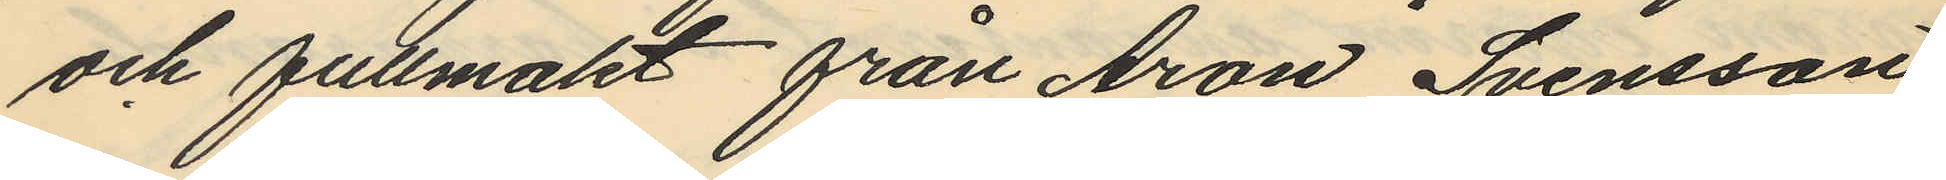och fullmakt från Aron Svensson
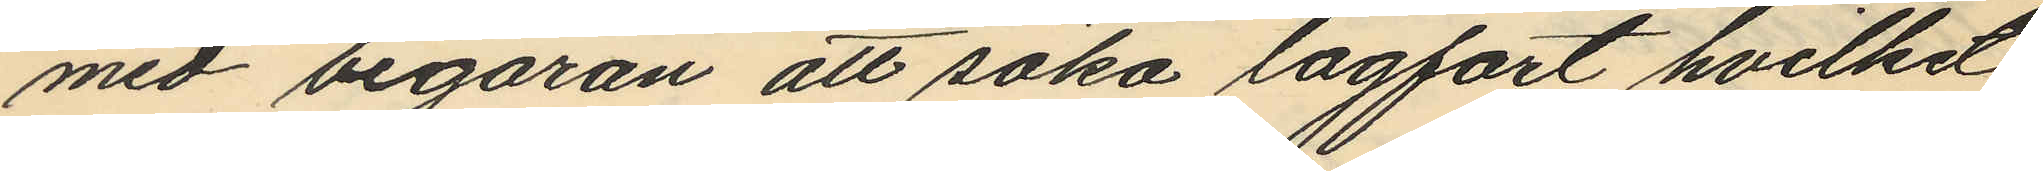med begäran att söka lagfart hvilket
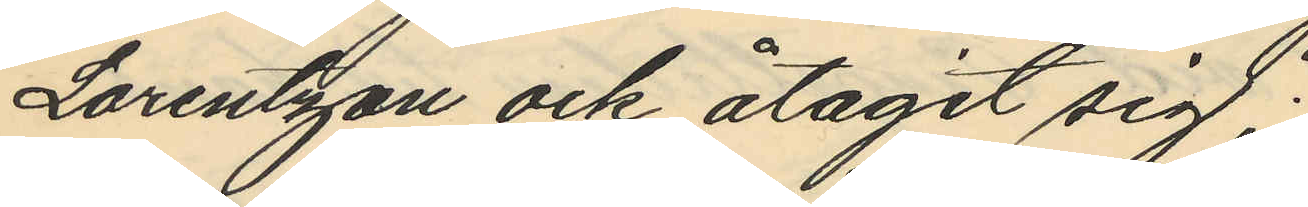Lorentzon ock åtagit sig;
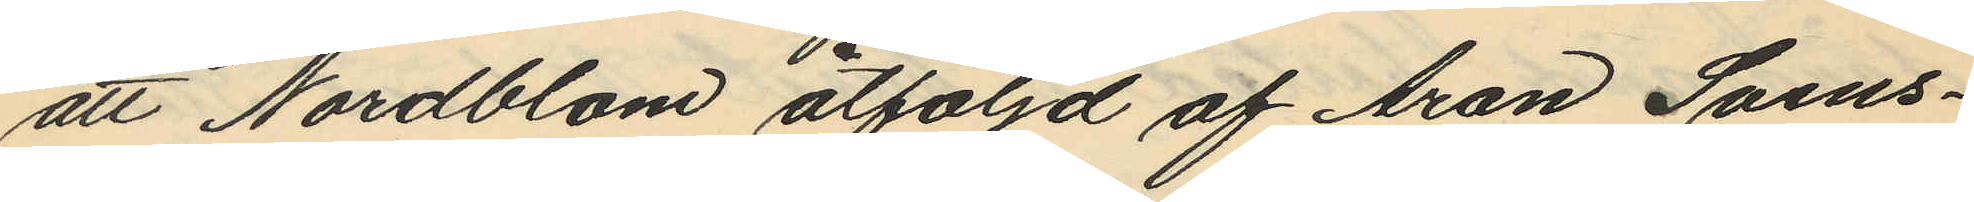att Nordblom åtföljd af Aron Svens¬
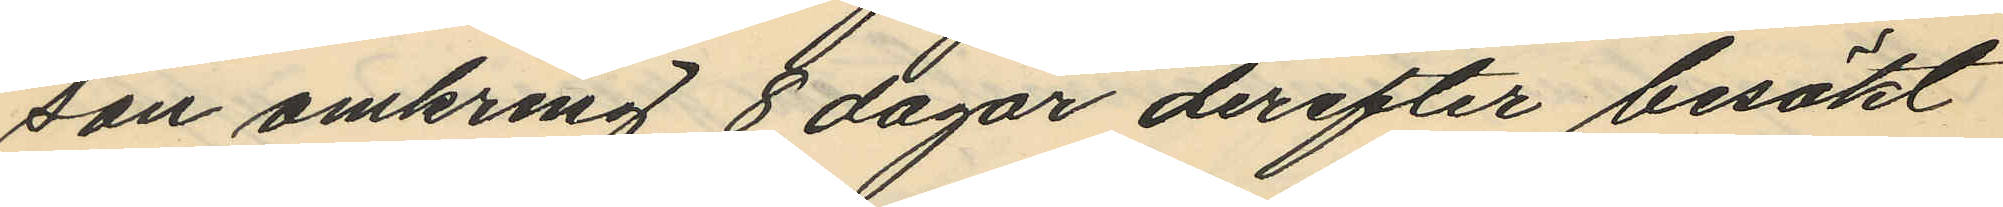son omkring 8 dagar derefter besökt
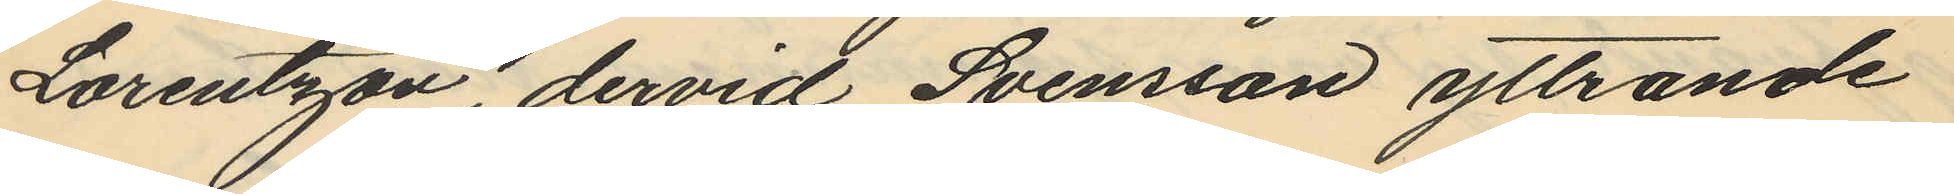Lorentzon, dervid Svensson yttrande
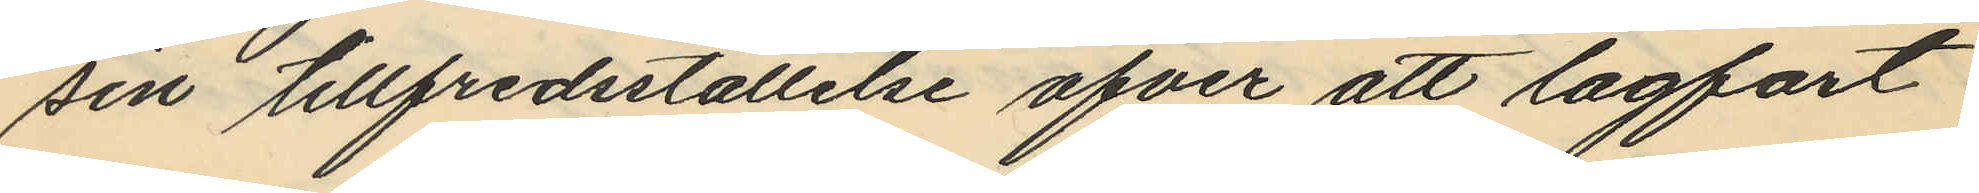sin tillfredsställelse öfver att lagfart
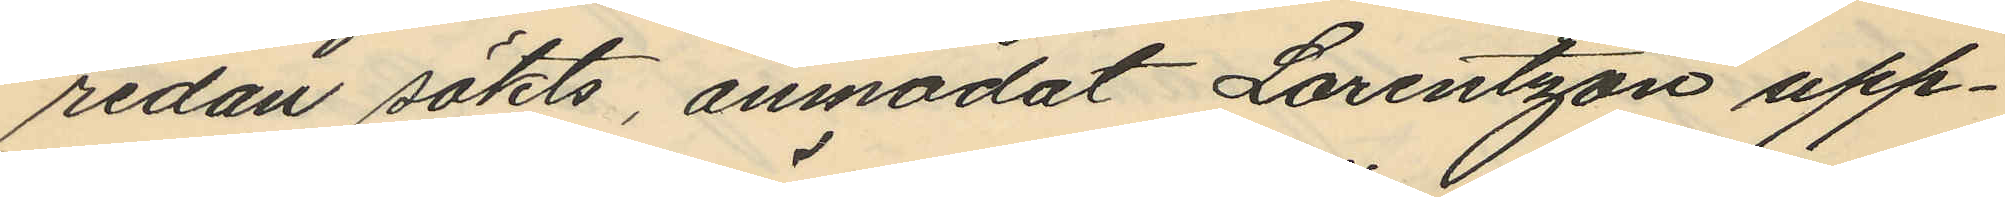redan sökts, anmodat Lorentzon upp¬
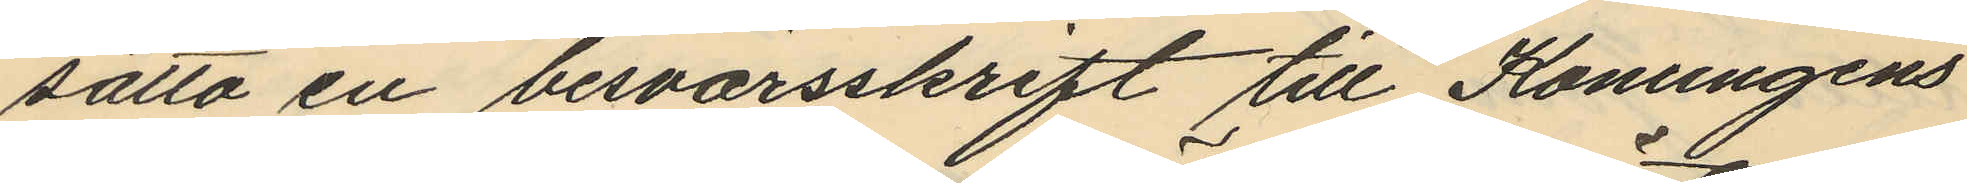sätta en besvärsskrift till Konungens
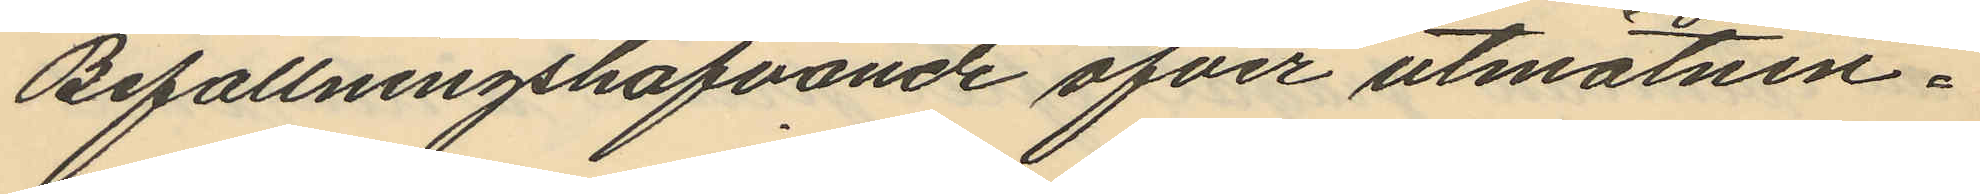Befallningshafvande öfver utmätnin¬
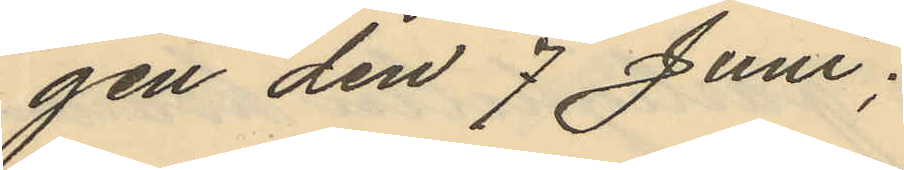gen den 7 Juni;
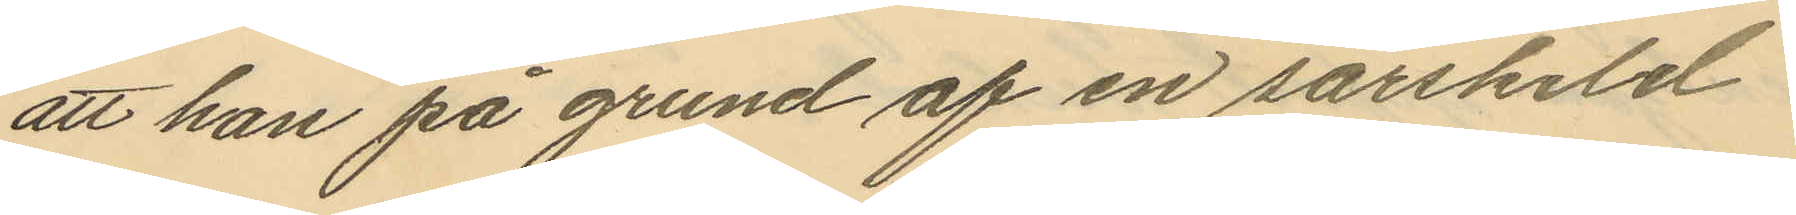att han på grund af en särskild
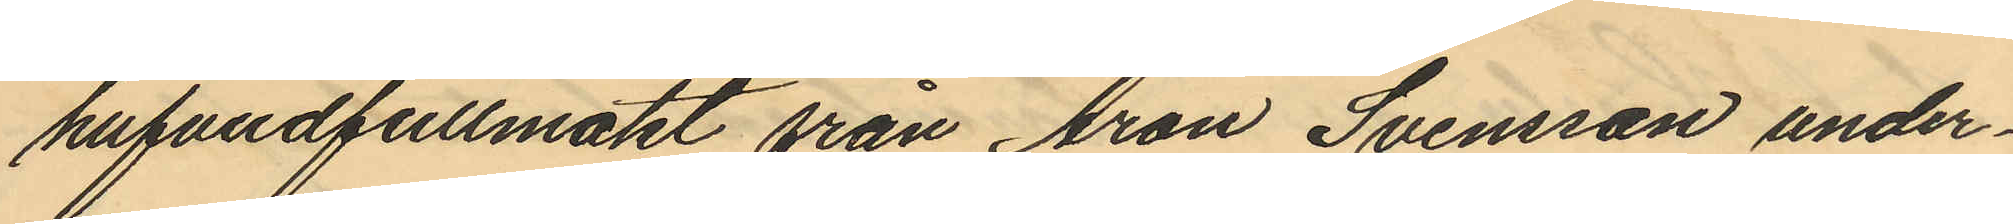hufvudfullmakt från Aron Svensson under¬
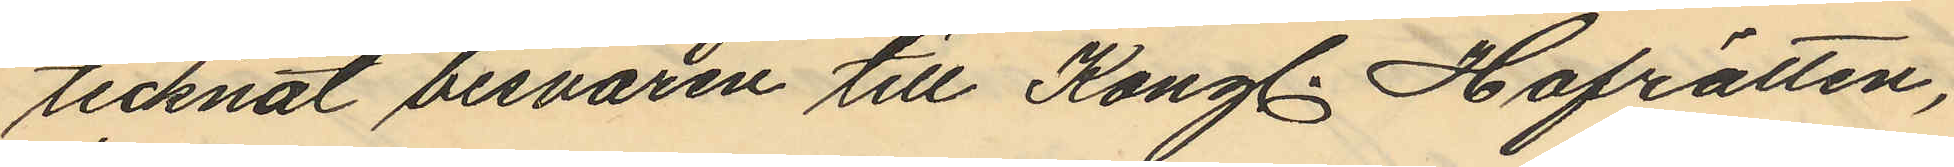tecknat besvären till Kongl. Hofrätten,
